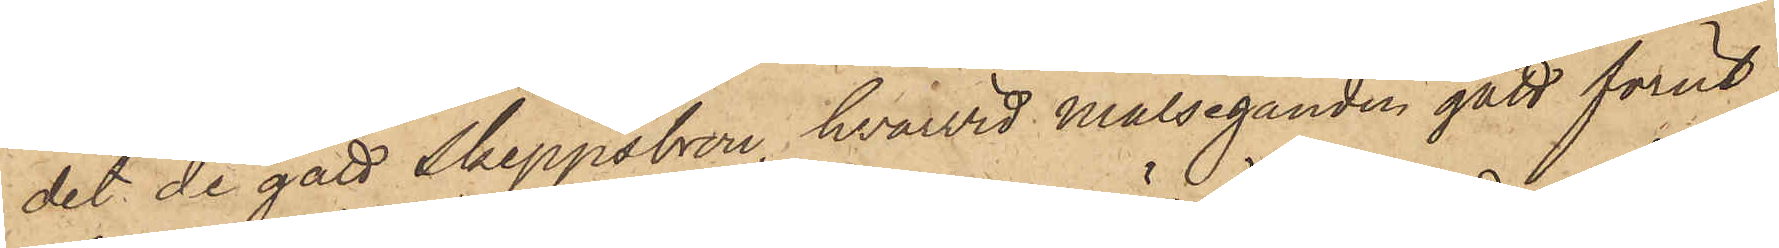det de gått Skeppsbron, hvarvid Målseganden gått förut,
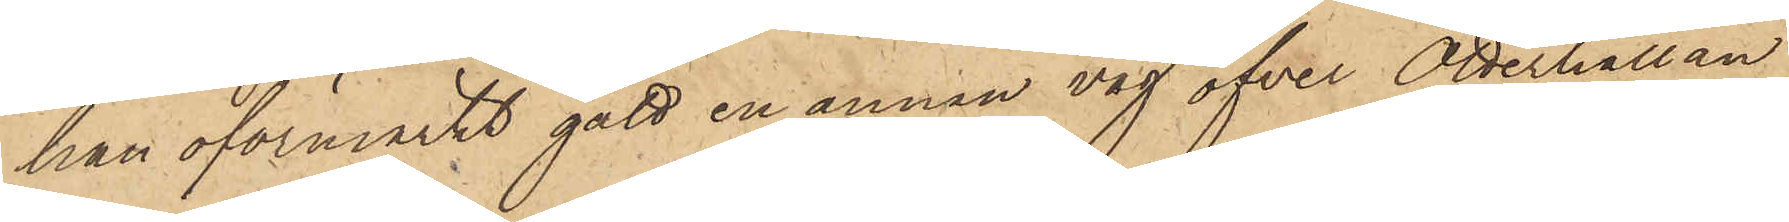han oförmärkt gått en annan väg öfver Otterhällan
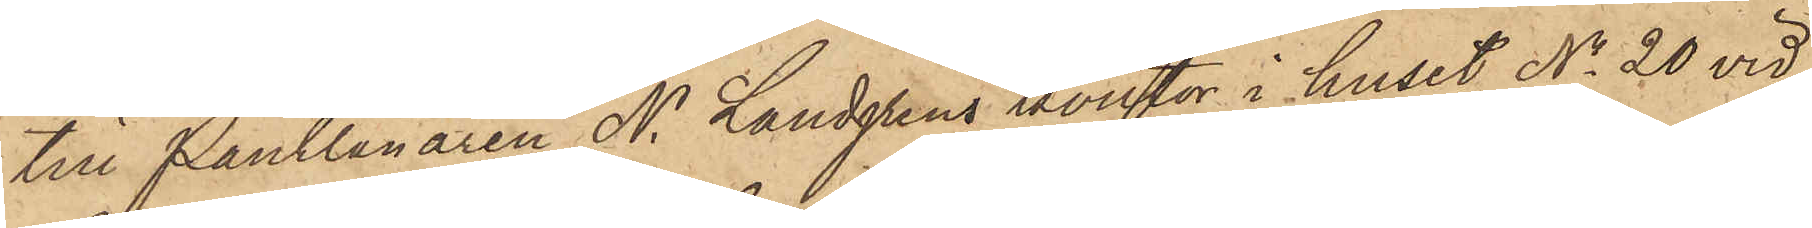till Pantlånaren N. Landgrens kontor i huset No 20 vid
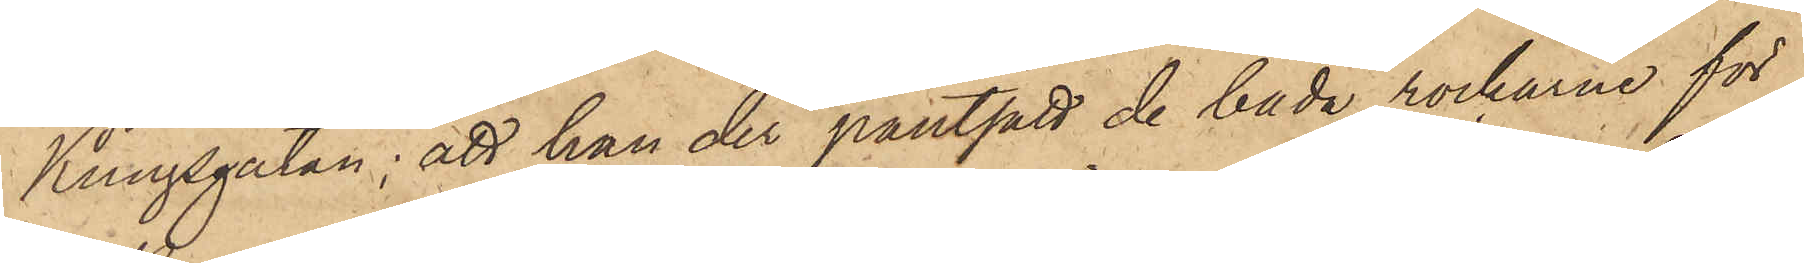Kungsgatan; att han der pantsatt de båda rockarne för
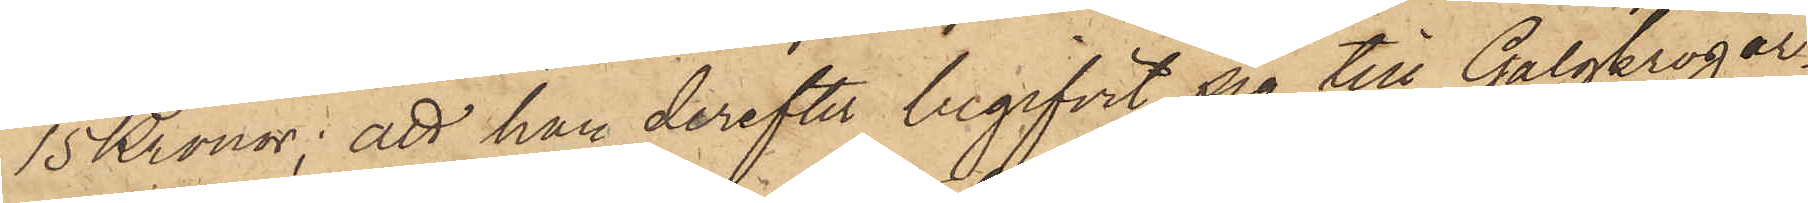15 Kronor; att han derefter begifvit sig till Galgkrogar¬
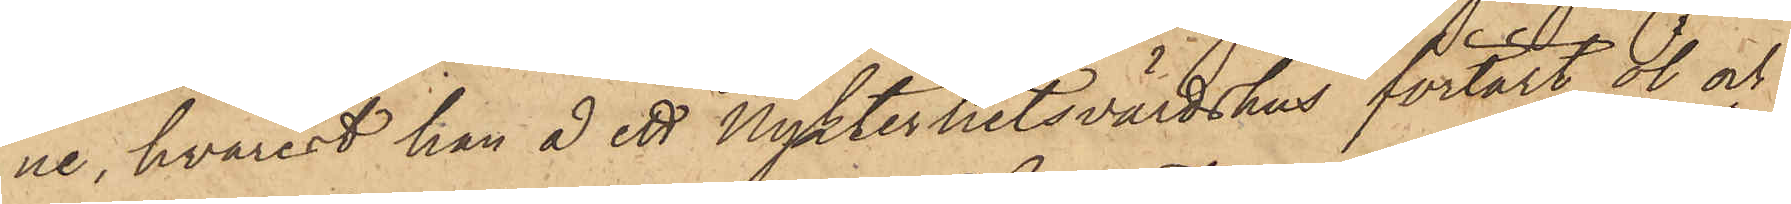ne, hvarest han å ett Nykterhetsvärdshus förtärt öl och
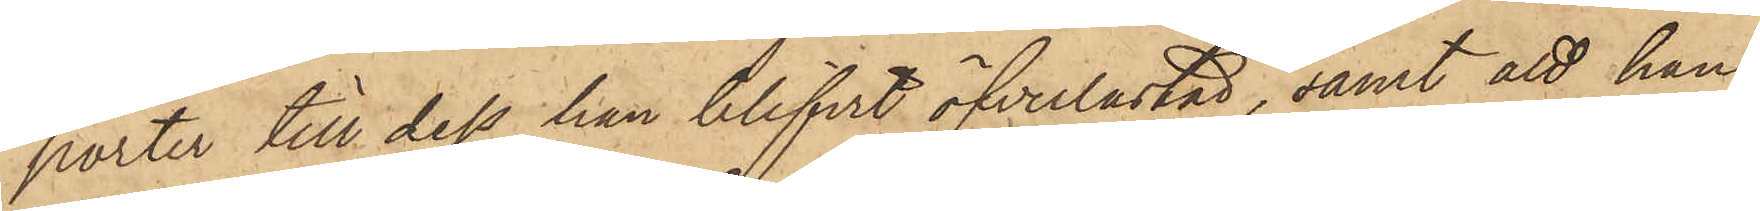porter till dess han blifvit öfverlastad, samt att han,
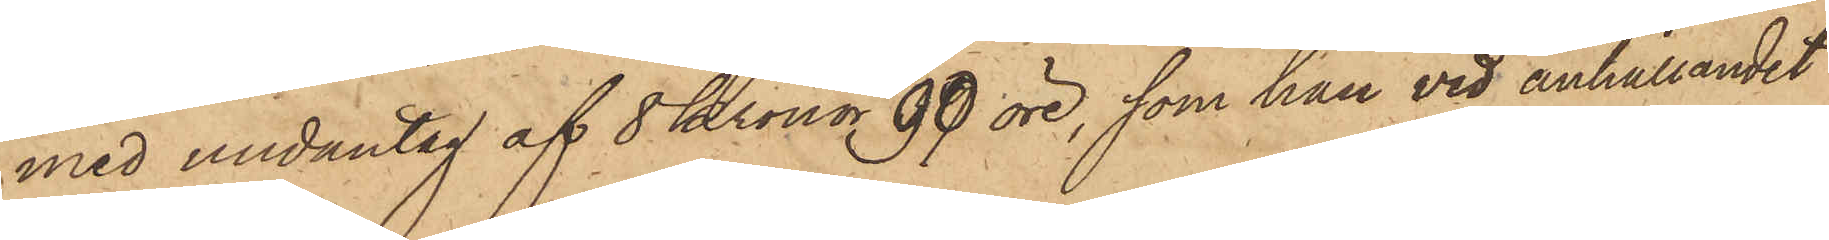med undantag af 8 Kronor 90 öre, som han vid anhållandet
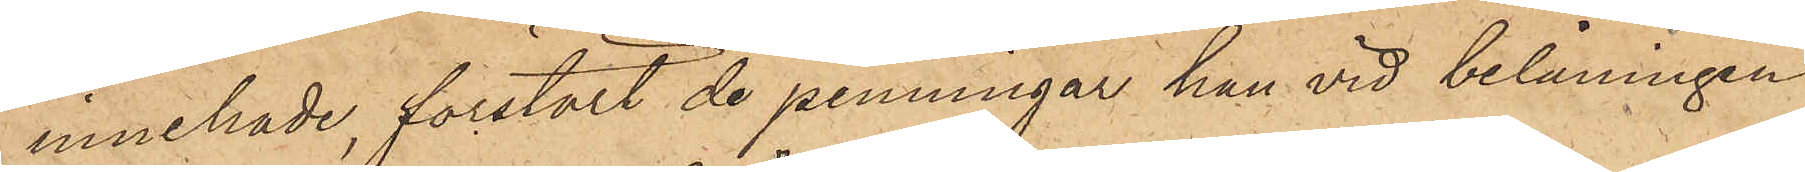innehade, förstört de penningar han vid belåningen
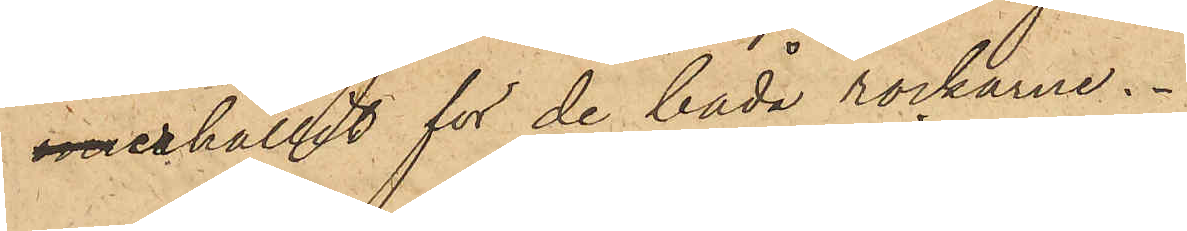 erhållit för de båda rockarne.
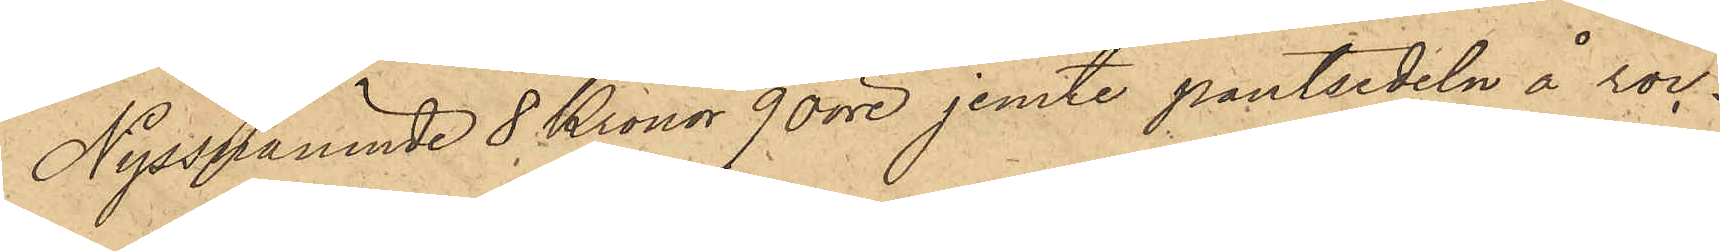Nyssnämnde 8 Kronor 90 öre jemte pantsedeln å roc¬
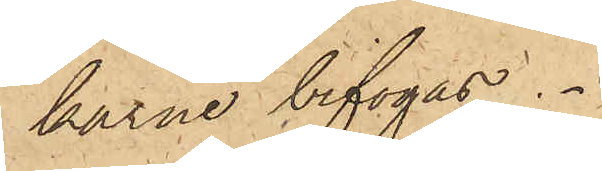karne bifogas.
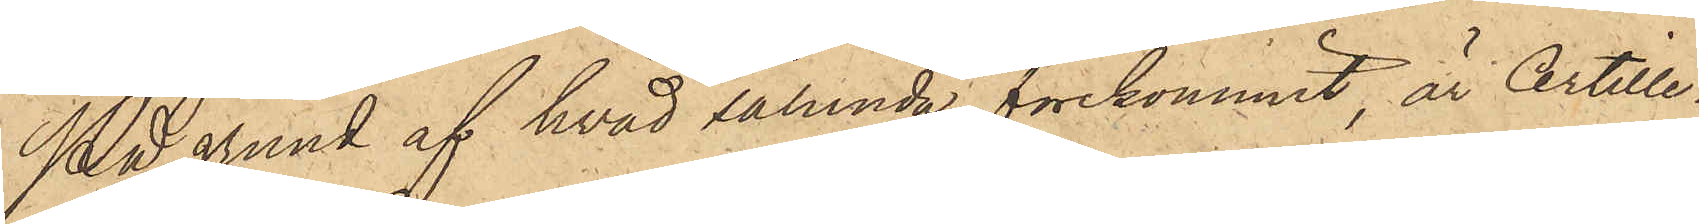På grund af hvad sålunda förekommit, är Artille¬
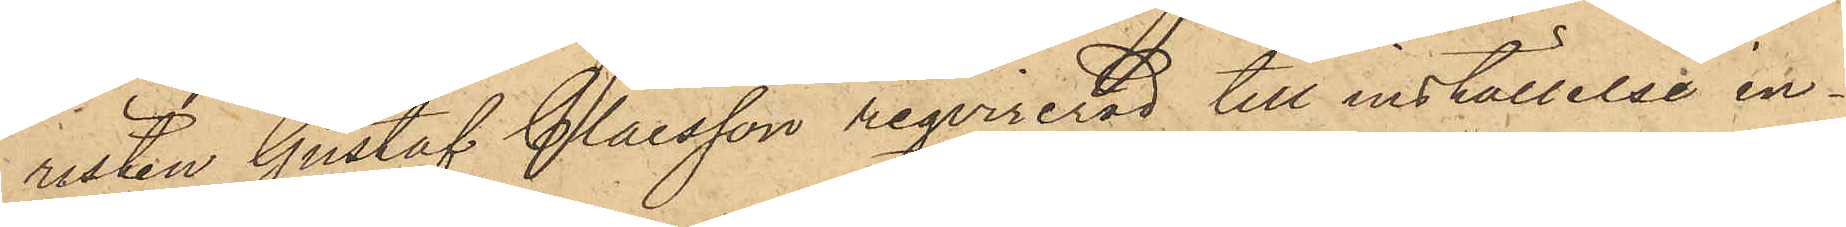risten Gustaf Claesson reqvirerad till inställelse in¬
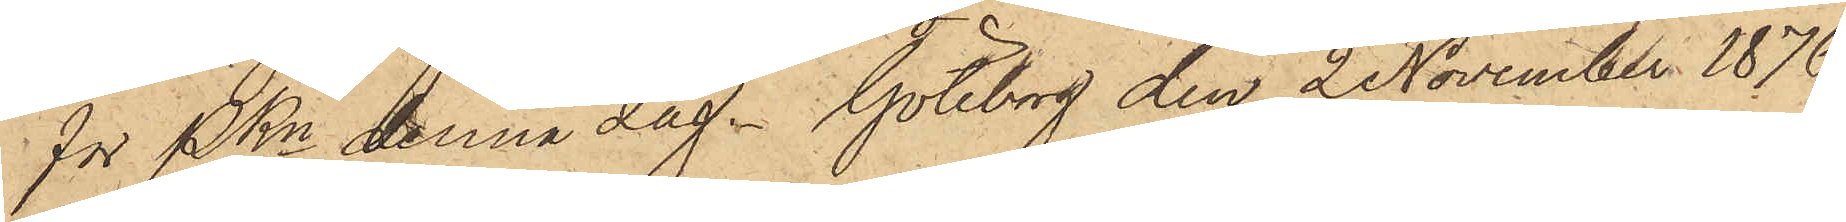för PKn denna dag. Göteborg den 2 November 1876.
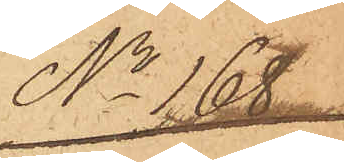No 168
